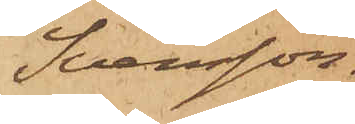Svensson.
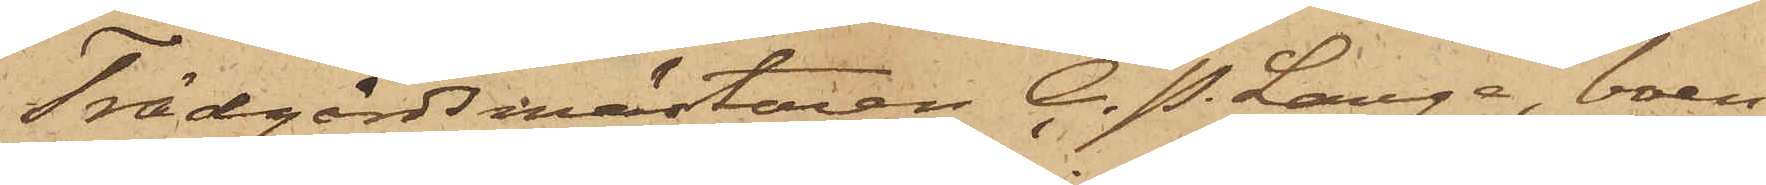Trädgårdsmästaren C. P. Lange, boen¬
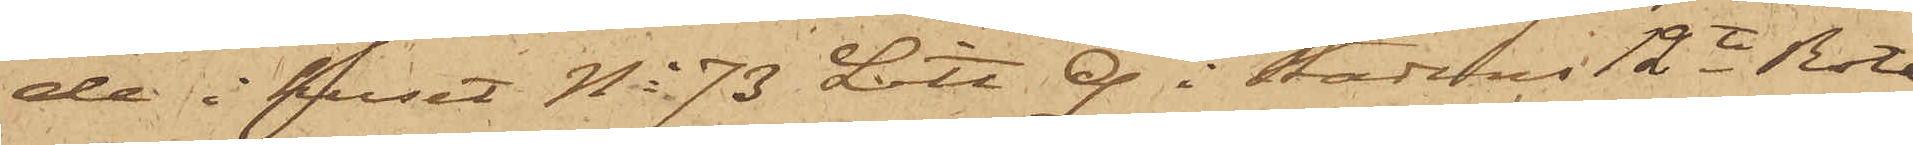de i huset No 73 Litt. Q. i Stadens 12te Rote
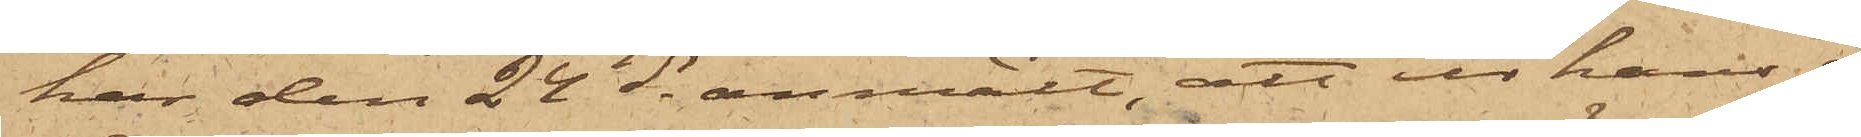har den 24 ds anmält att ur hans å
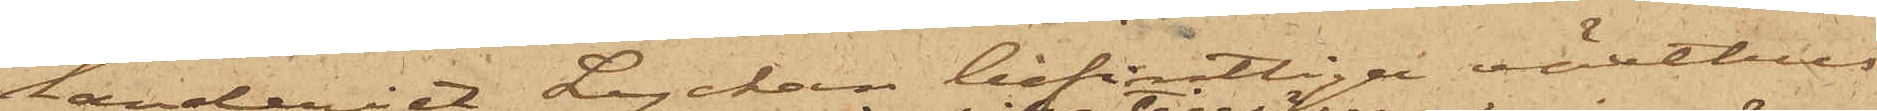landeriet Lyckan befintliga växthus
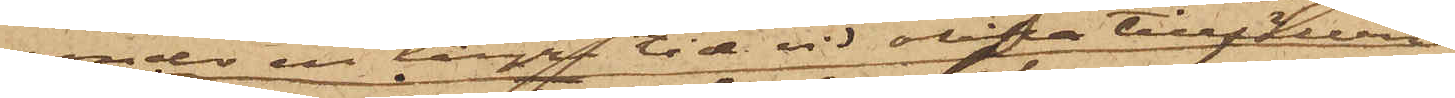under en längre tid vid olika tillfällen
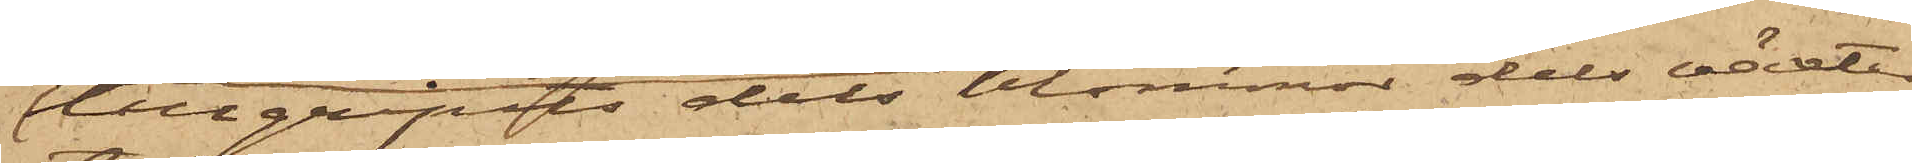tillgripits dels blommor dels växter
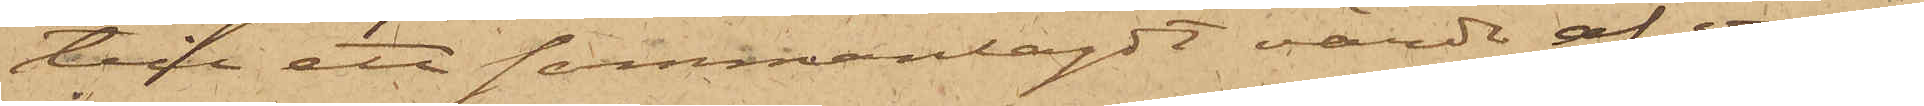till ett sammanlagdt värde af om¬
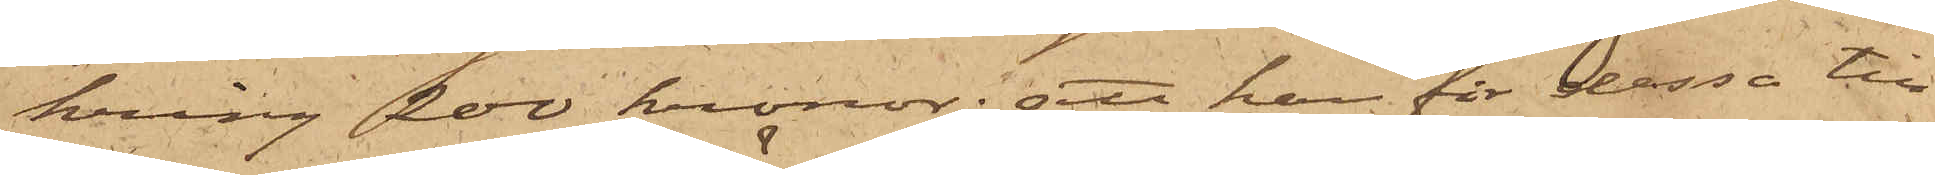kring 200 kronor; att han för dessa till¬
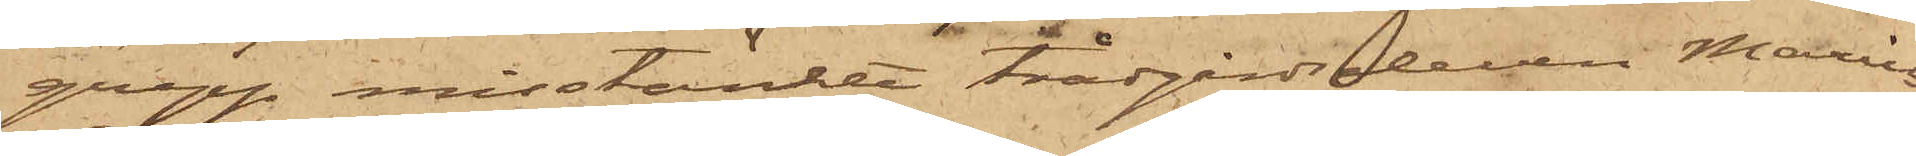grepp misstänkte trädgårdseleven Marius
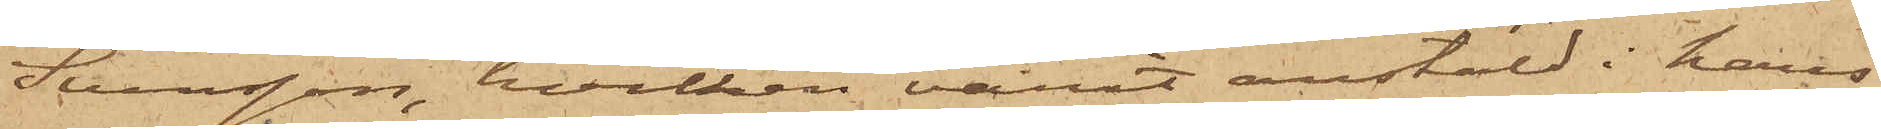Svensson, hvilken varit anstäld i hans
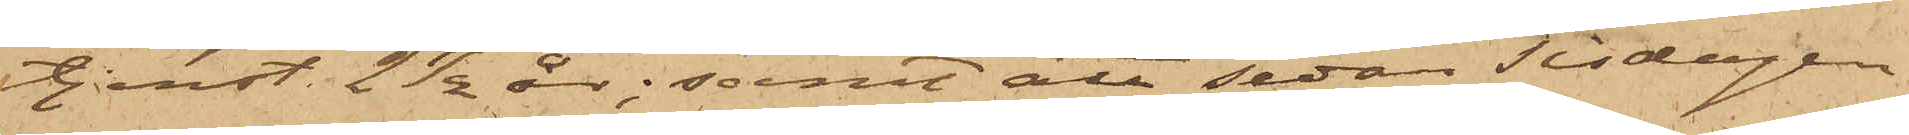tjenst 2 1/2 år; samt att sedan Tisdagen
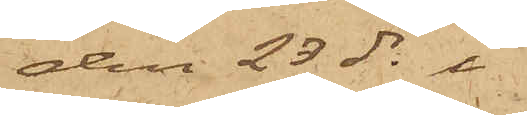den 23 ds i
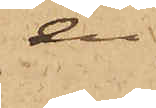en
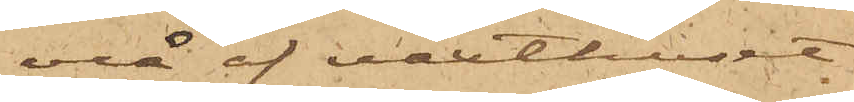vrå af växthuset
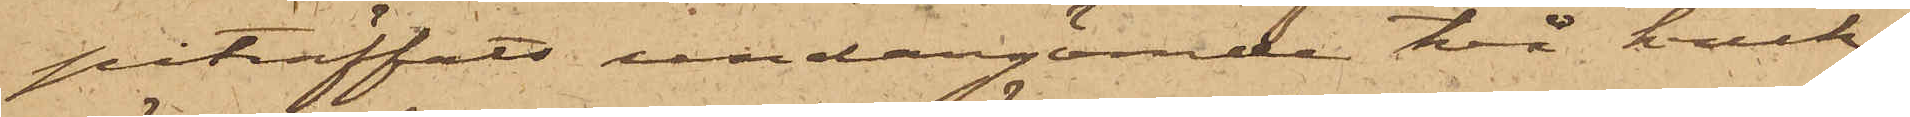påträffats undangömde två kruk¬
